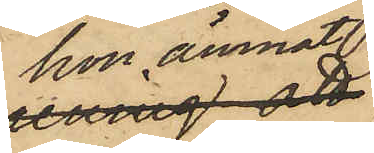hon ämnat
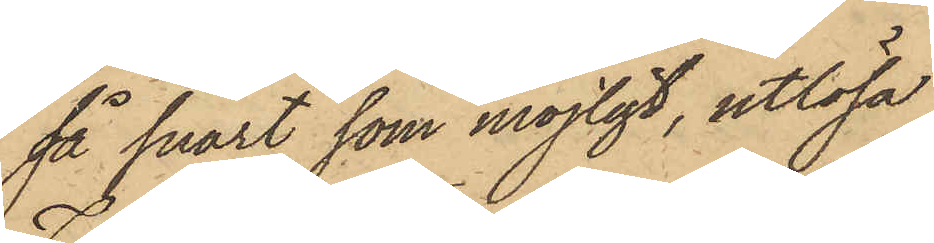så snart som möjligt, utlösa
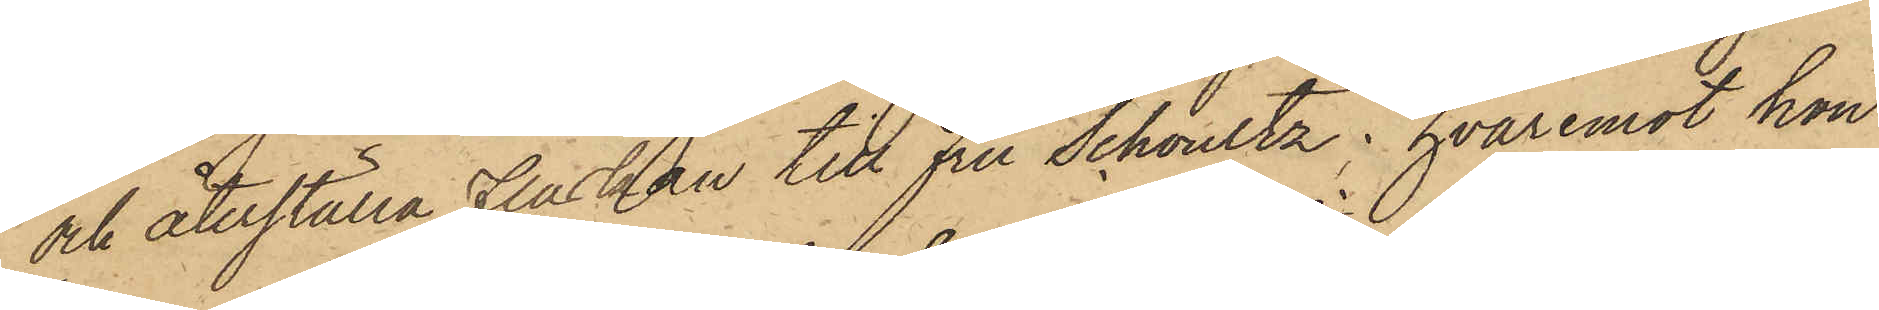och återställa Flaskan till Fru Schoultz; hvaremot hon
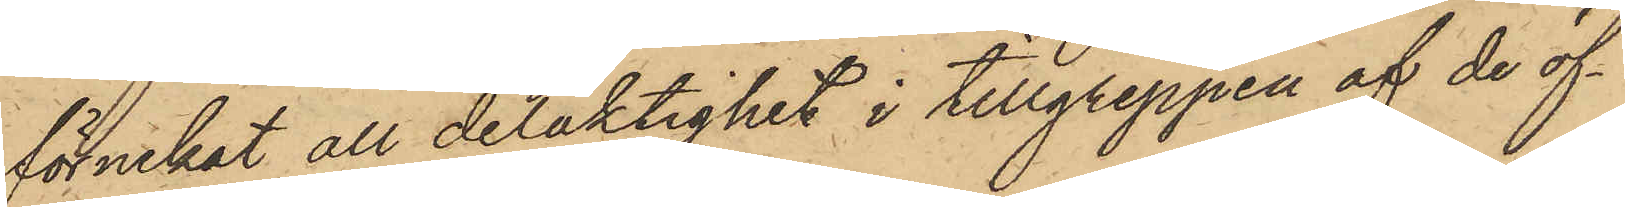förnekat all delaktighet i tillgreppen af de öf¬
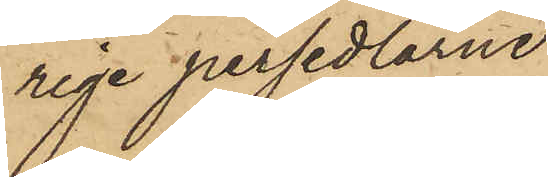rige persedlarne.
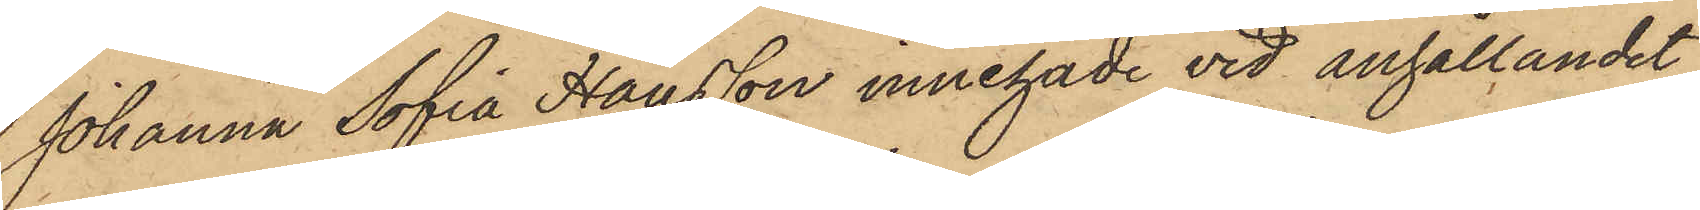Johanna Sofia Hansson innehade vid anhållandet
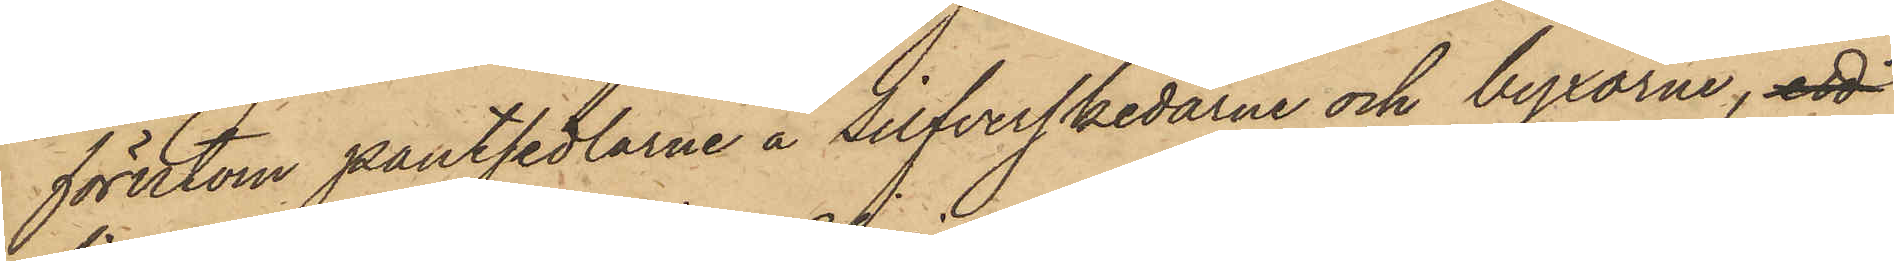förutom pantsedlarne å Silfverskedarne och byxorna, ett
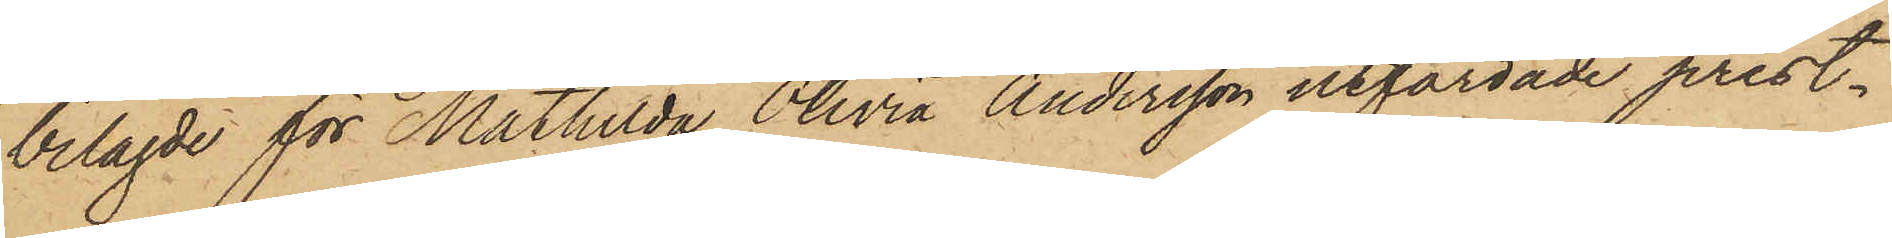bilagde för Mathilda Olivia Andersson utfärdade prest¬
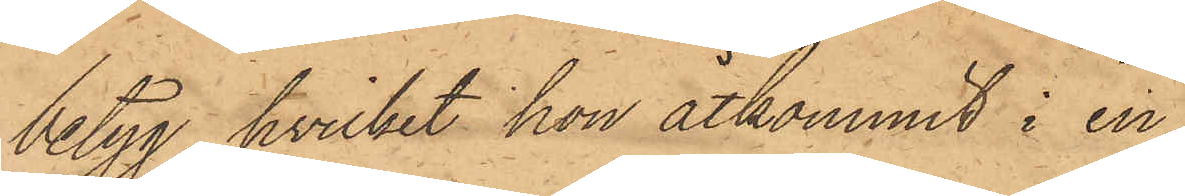betyg, hvilket hon åtkommit i en
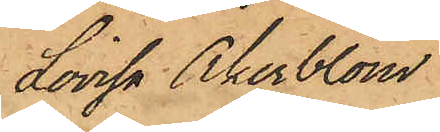Lovisa Åkerblom
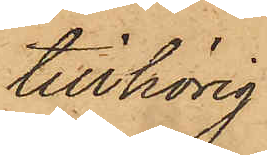tillhörig
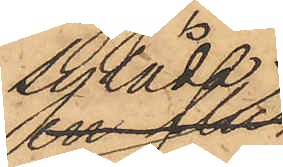sylåda;
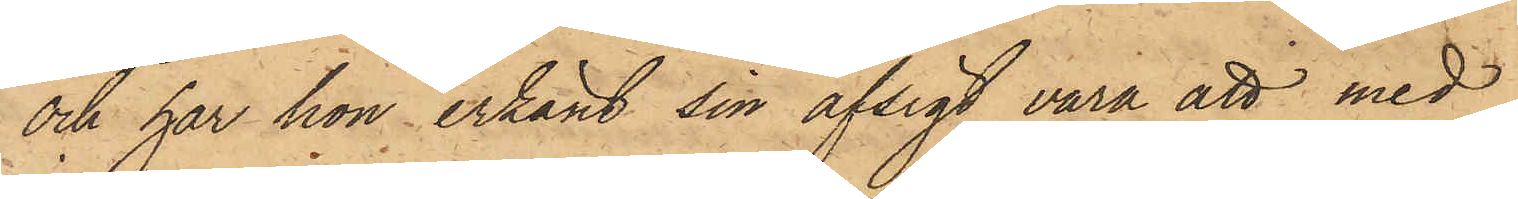och har hon erkänt sin afsigt vara att med
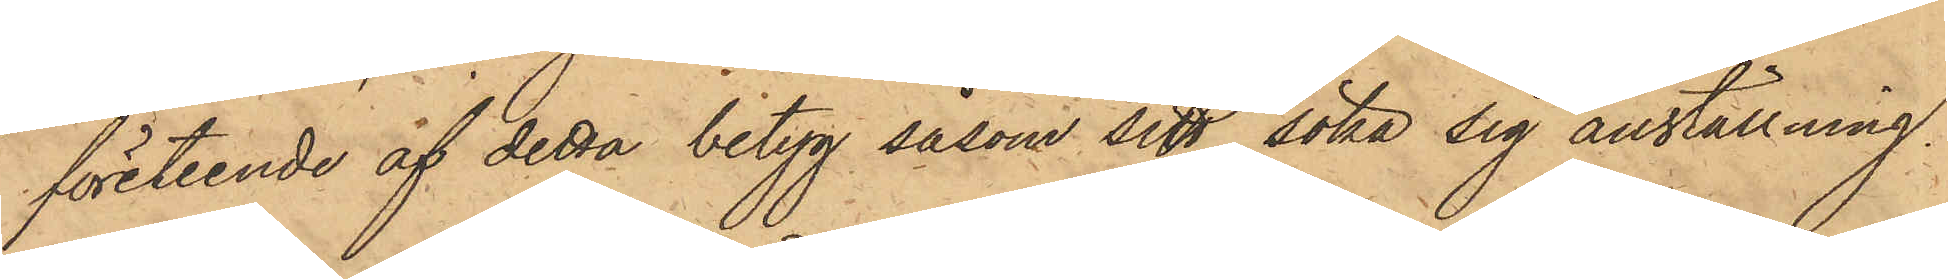företeende af detta betyg såsom sitt, söka sig anställning.
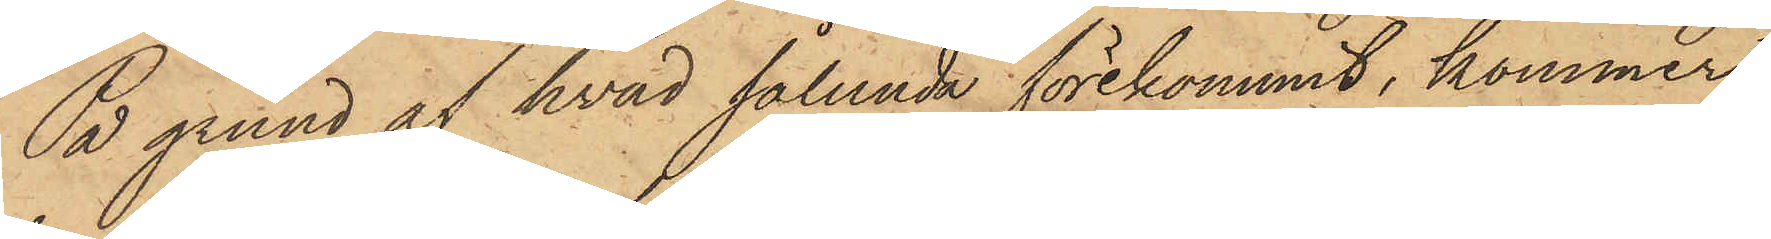På grund af hvad sålunda förekommit, kommer
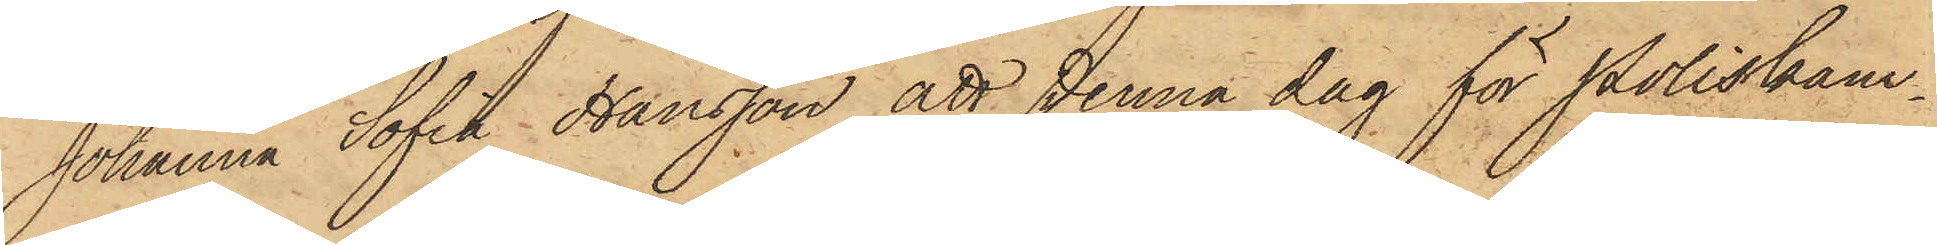Johanna Sofia Hansson att denna dag för Poliskam¬
